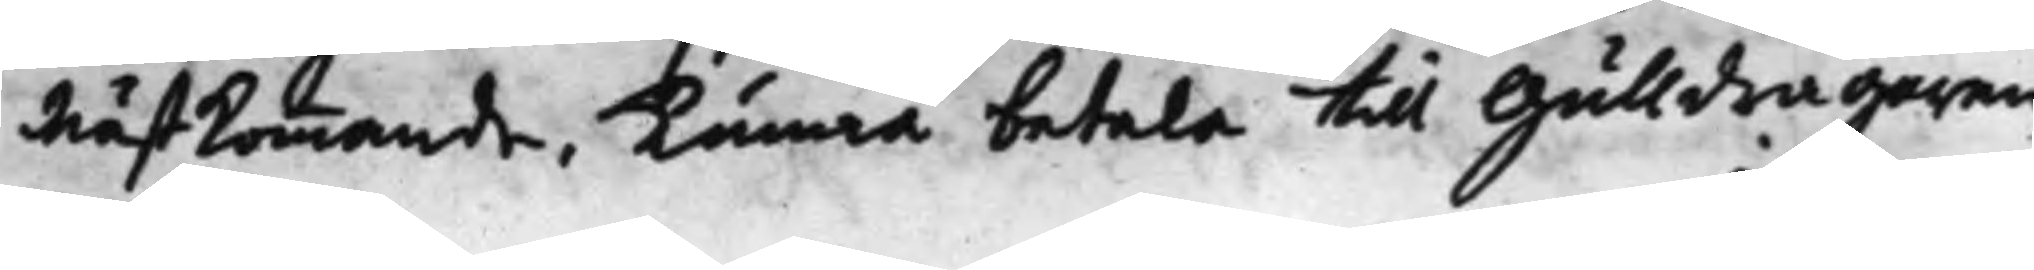nästkommande, Kunna betala till Gulldragaren
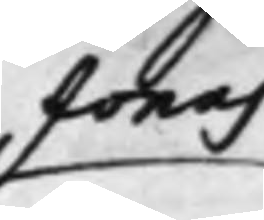Jonas 
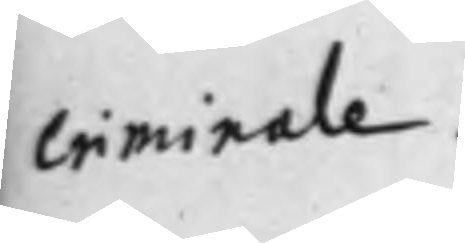criminale
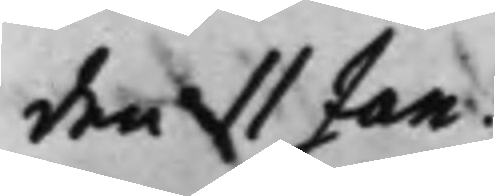den 11 Jan:
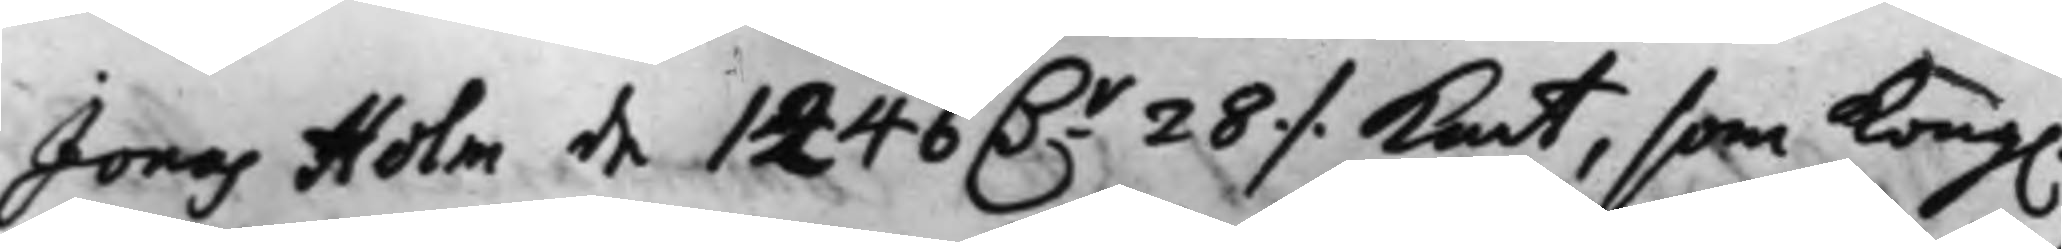Jonas Holm de 1246 D.r 28 ./. Kmt, som Kong. 
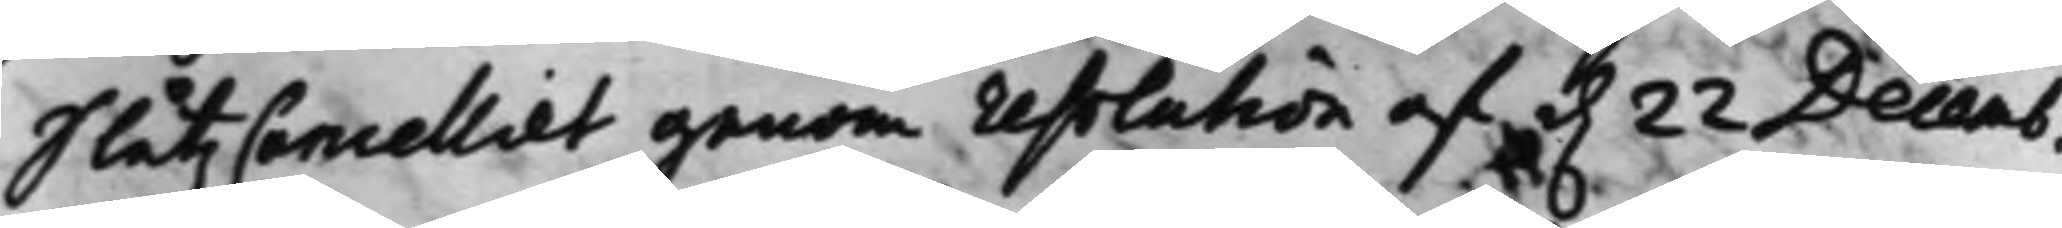SlåtzCancelliet genom resolution af d. 22 Decemb.
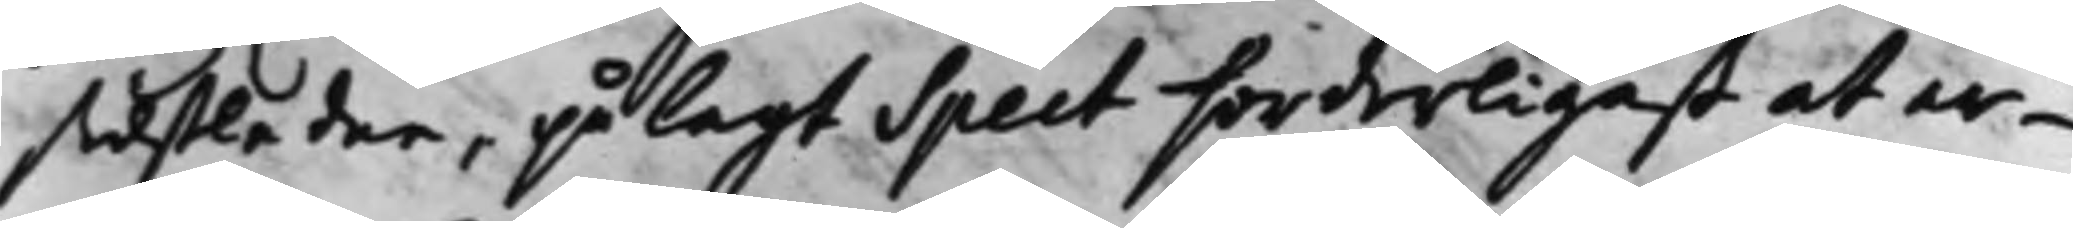sidstledne, pålagt Speet forderligast at er¬
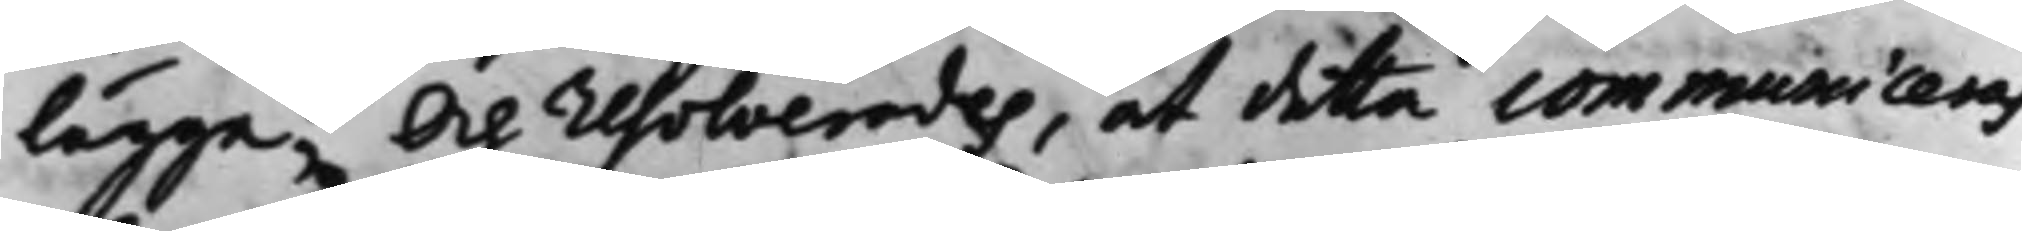lägga; Och resolverades, at detta communiceras
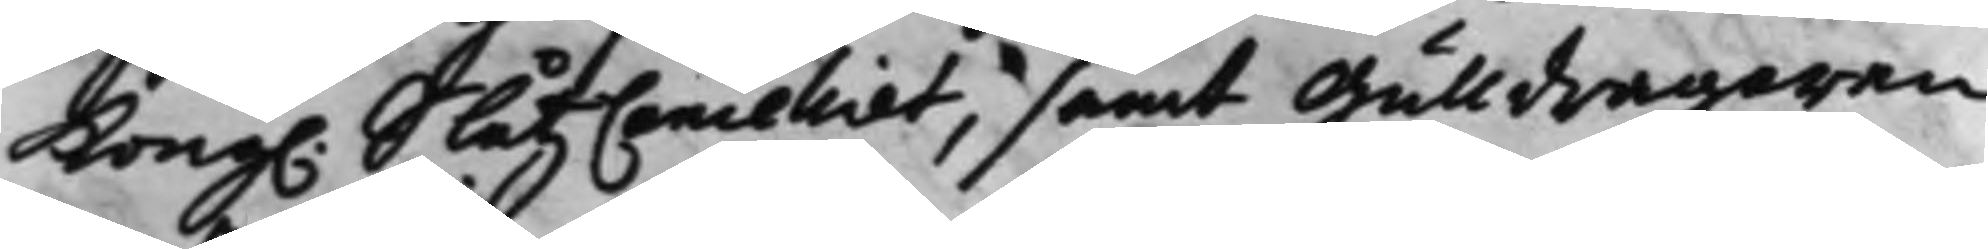Kongl. SlåtzCancelliet, samt Gulldragaren 
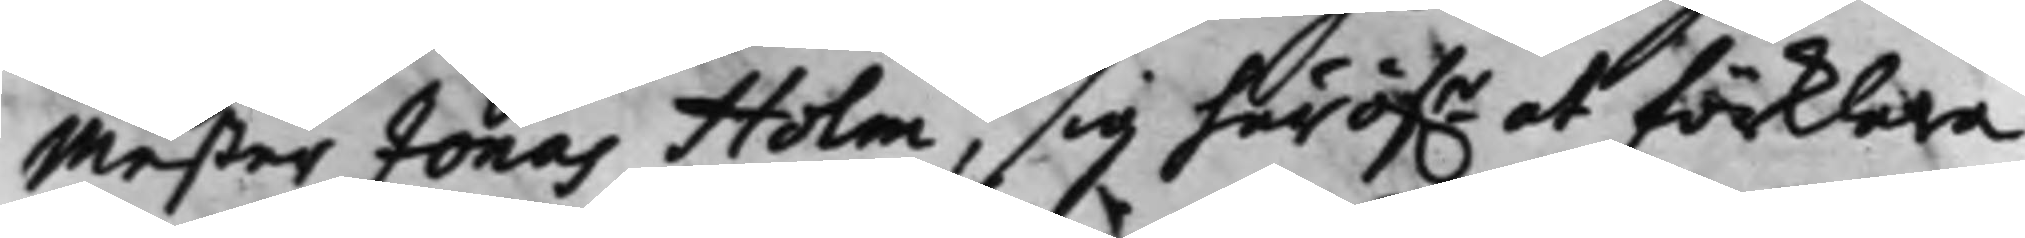Mester Jonas Holm, sig häröf.r at förklara,
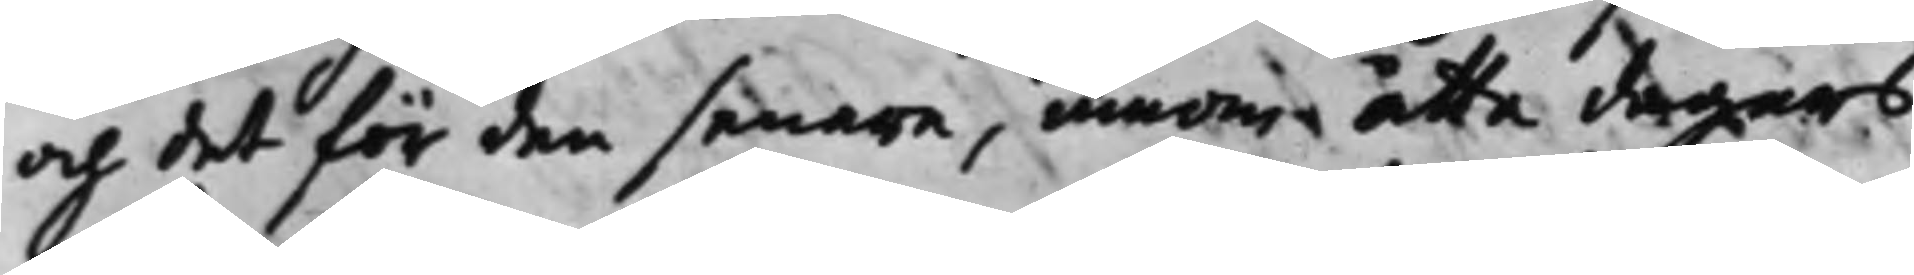och det för den senare, innom åtta dagars
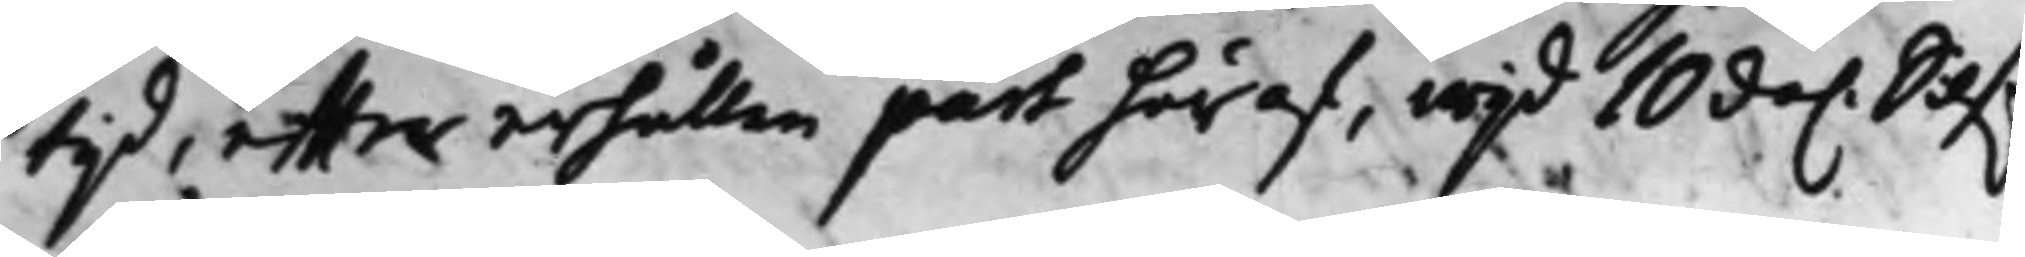tijd, effter erhållen part häraf, wijd 10 da. Silf.r
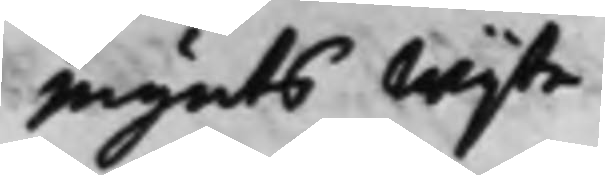mynts Wijte.
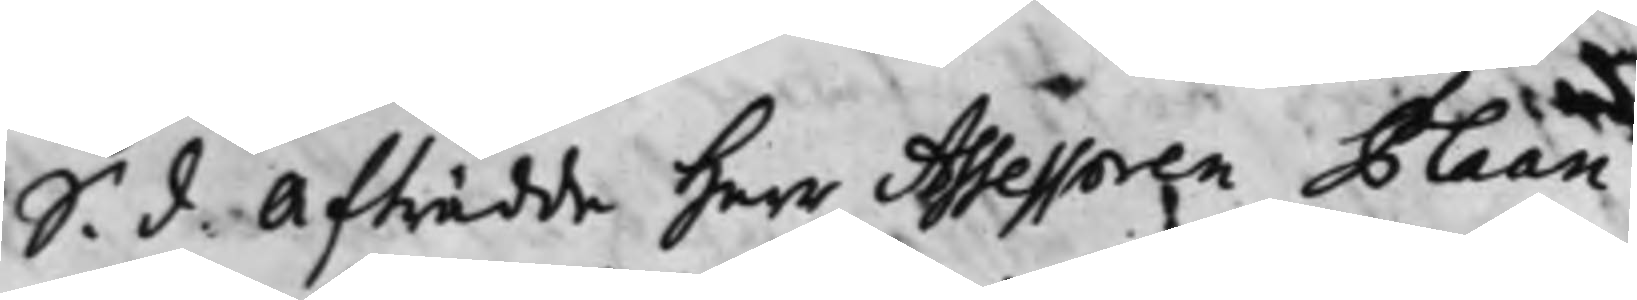S. d. Afträdde Herr Assessoren Plaan. 
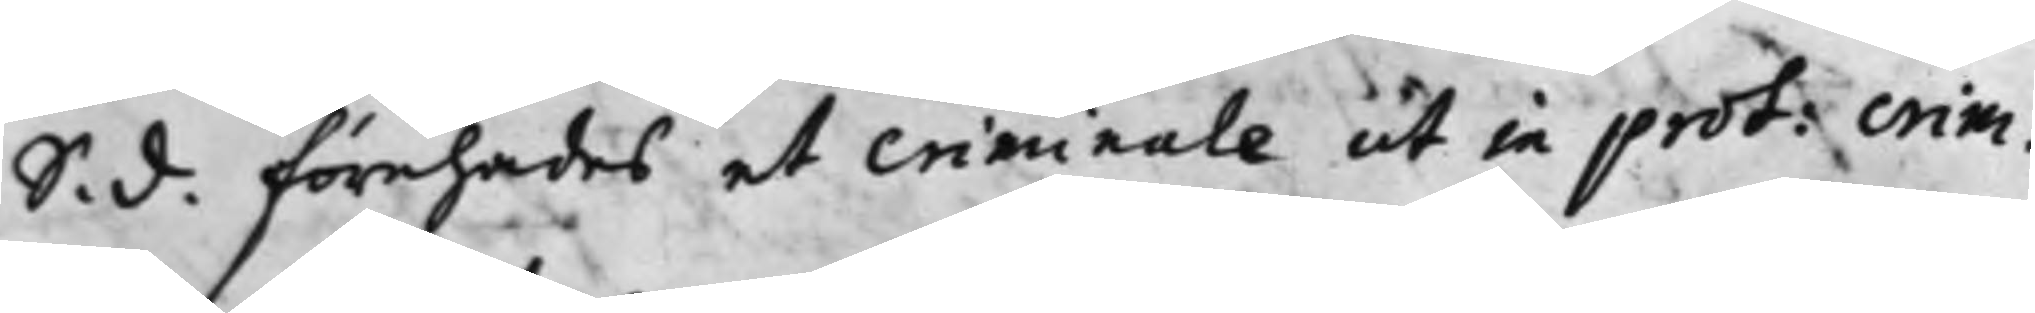S. d. Förehades et criminale ut in prot: crimi.
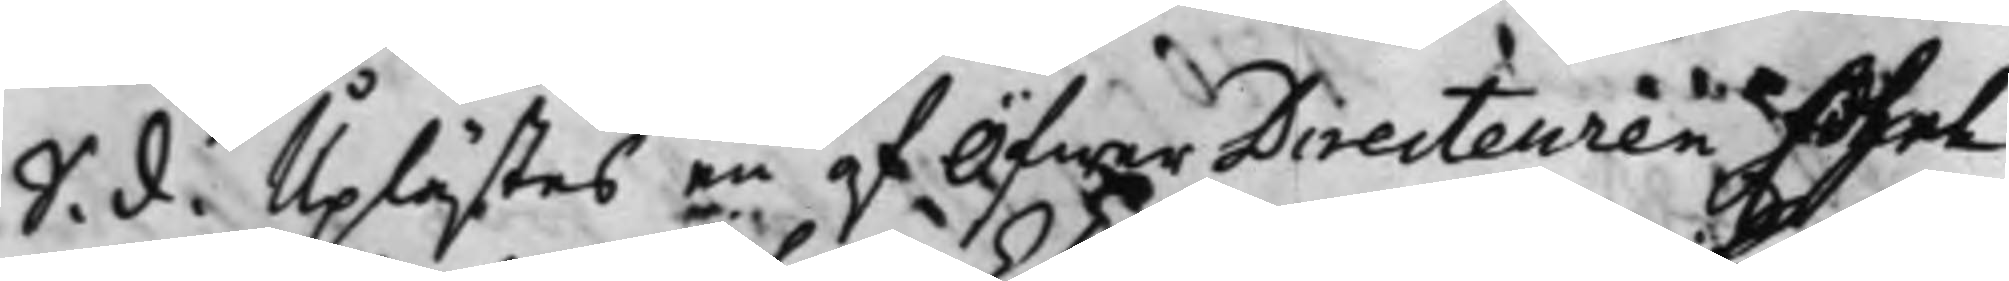S. d. Uplästes en af Öfwer Directeuren Edhel 
